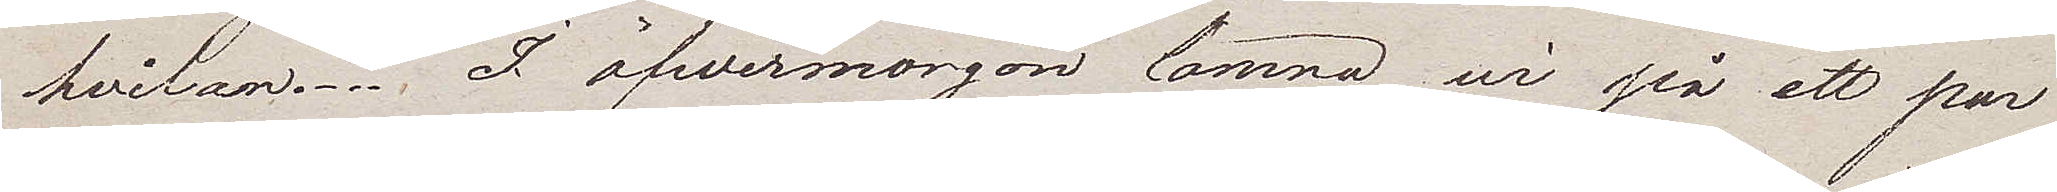hvilan. I öfwermorgon lämna wi på ett par
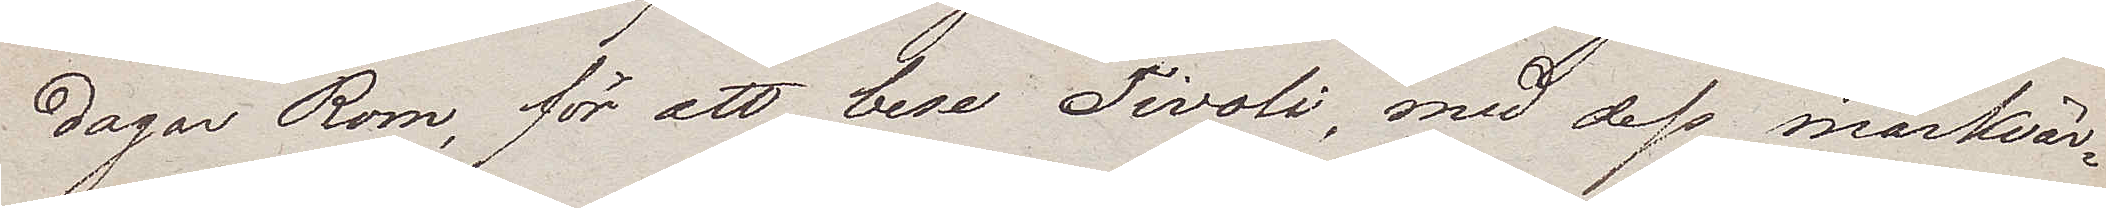dagar Rom, för att bese Tivoli, med dess märkvär¬
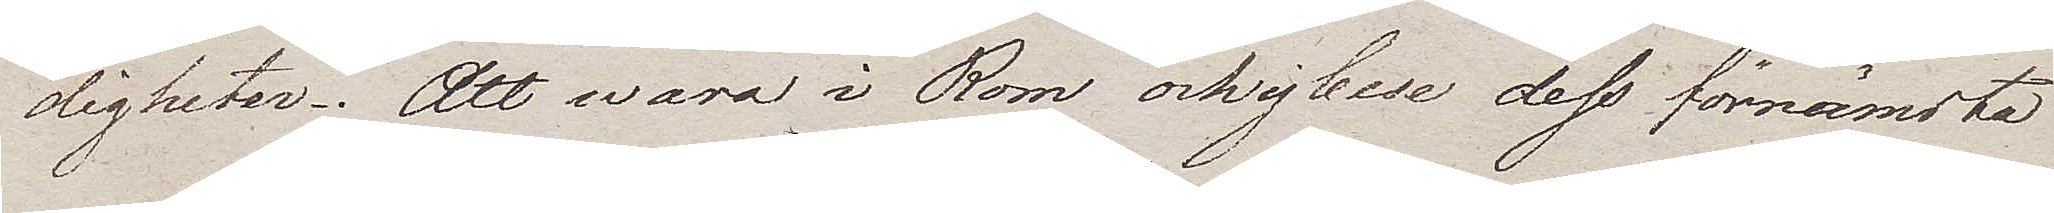digheter. Att wara i Rom och ej bese dess förnämsta
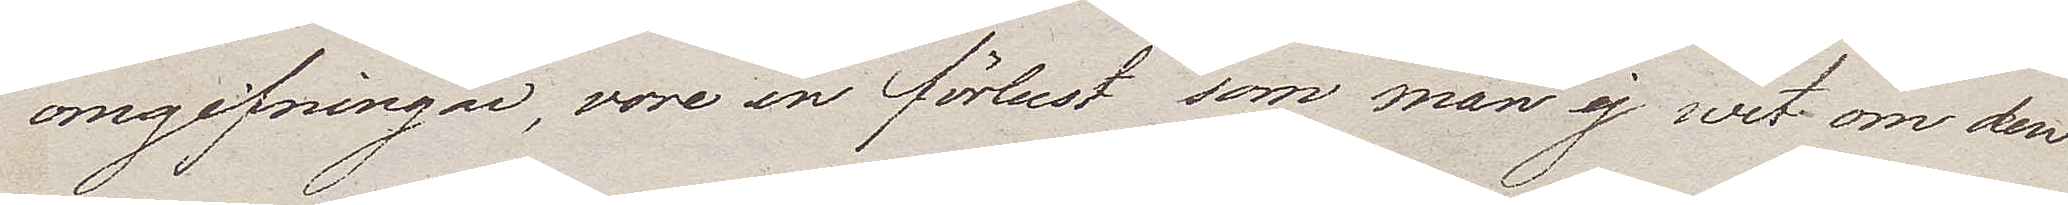omgifningar, vore en förlust som man ej wet, om den
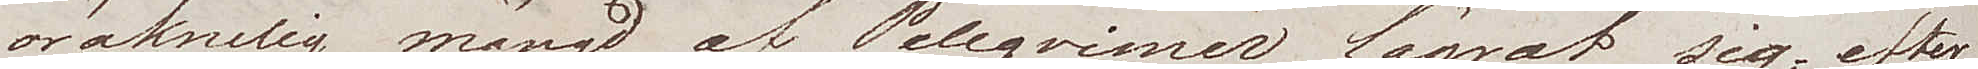oräknelig mängd af Pelegriner lägrat sig, efter 
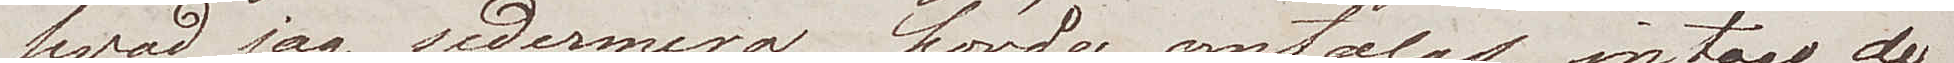hvad jag sedermera hörde omtalas, intogo de
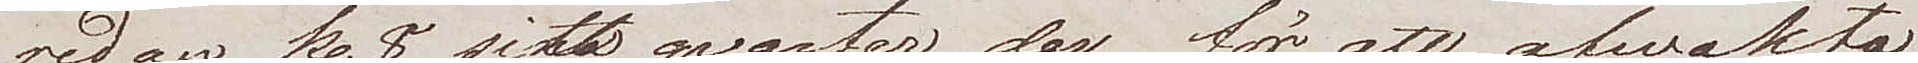redan kl. 8 sitt quarter der, för att afwakta
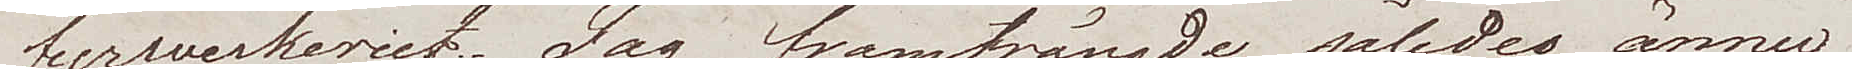fyrwerkeriet. Jag framträngde således ännu
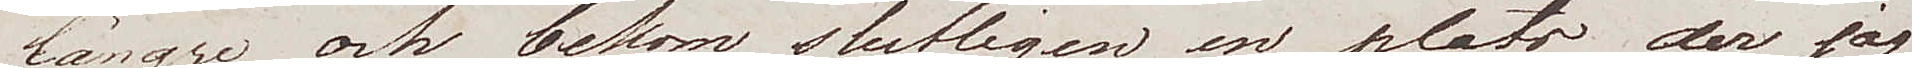längre och bekom slutligen en plats der jag
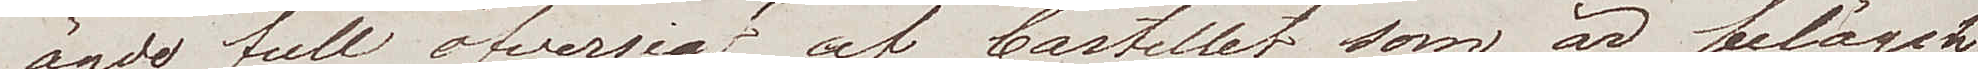ägde full öfwersigt af Castellet, som är beläget
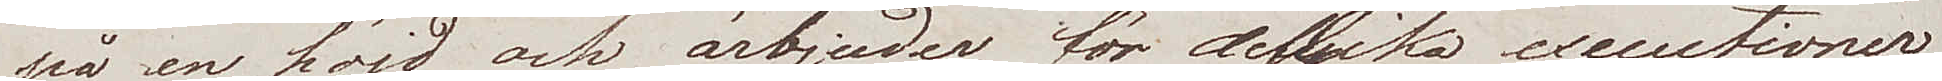på en höjd, och ärbjuder för dylika executioner
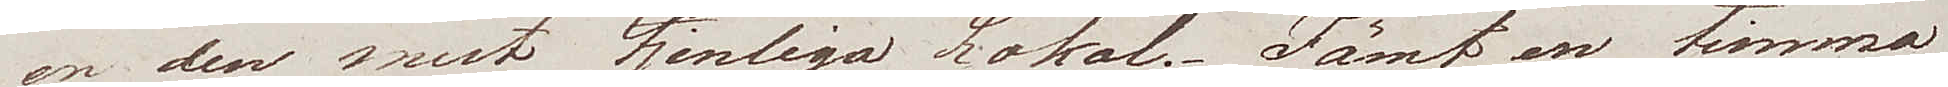en den mest tjenliga Lokal. Jämt en timma
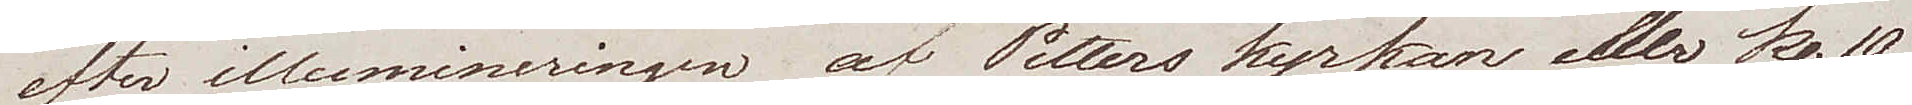efter illumineringen af Petters kyrkan eller kl 10
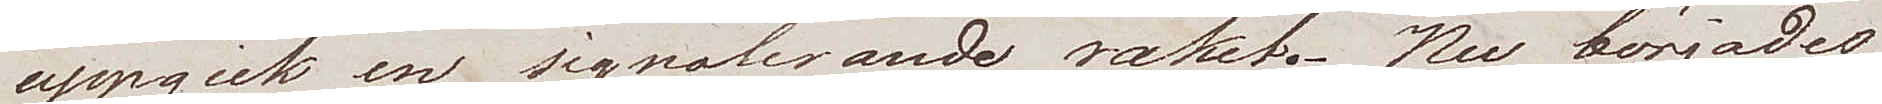uppgick en signalerande raket. Nu börjades
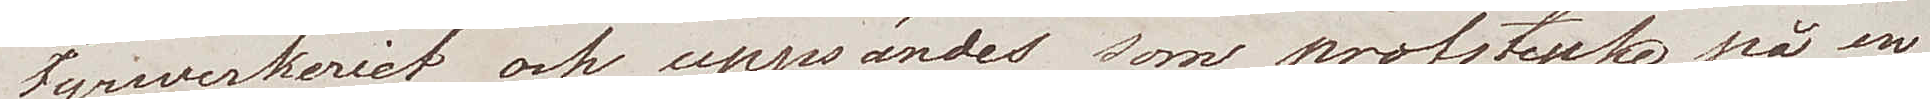fyrwerkeriet och uppsändes som profstycke på en
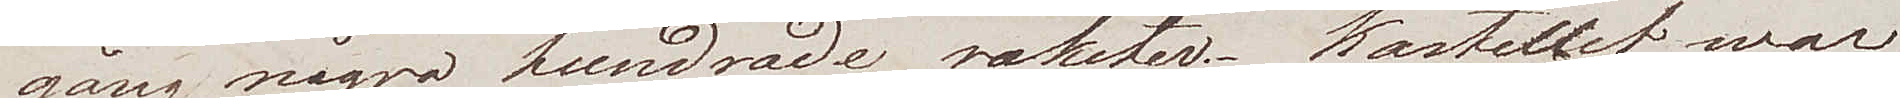gång några hundrade raketer. Kasellet war
